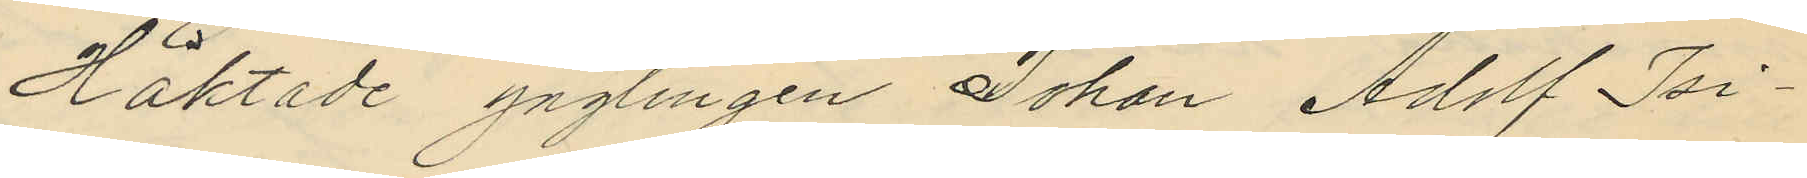Häktade ynglingen Johan Adolf Isi¬
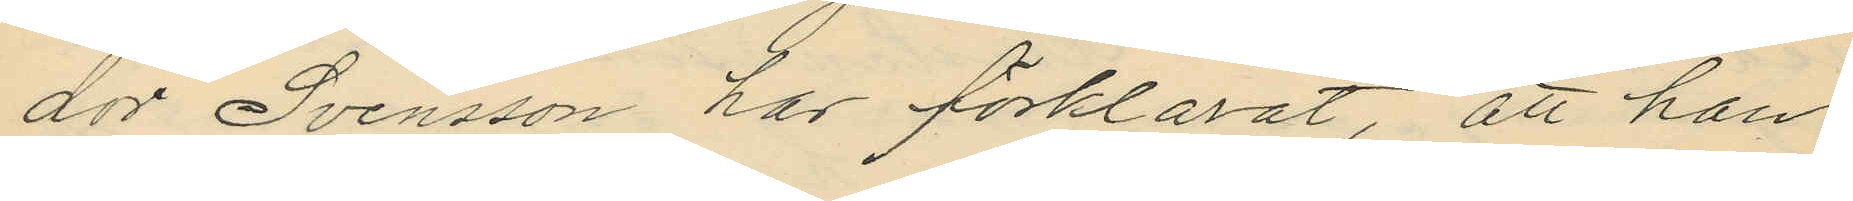dor Svensson har förklarat, att han
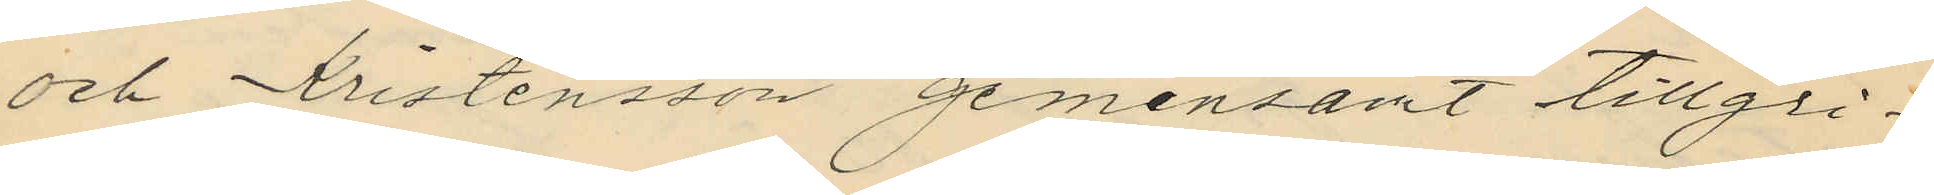och Kristensson gemensamt tillgri¬
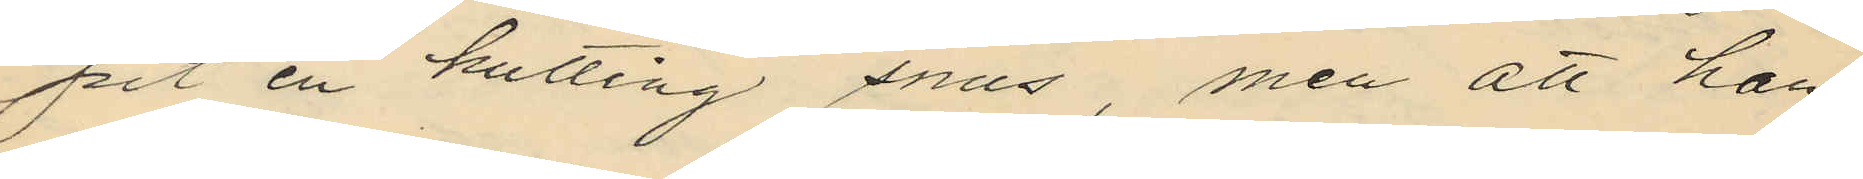pit en kutting snus, men att han
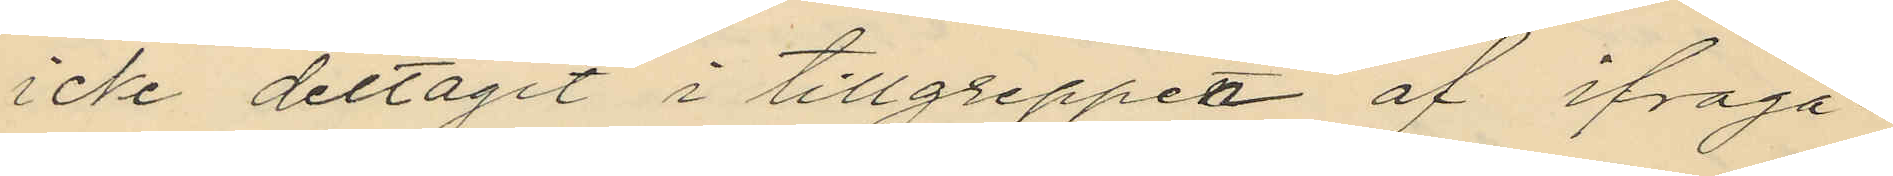icke deltagit i tillgreppet af ifråga¬
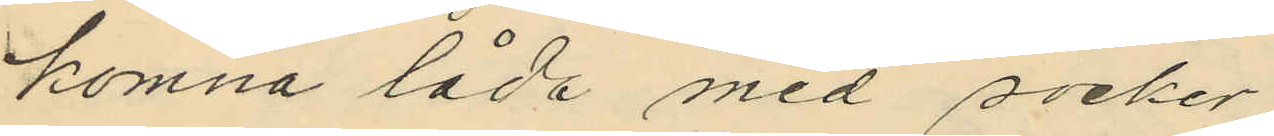komna låda med socker.
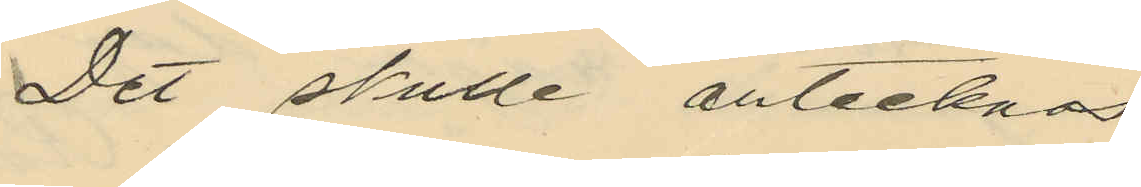Det skulle antecknas
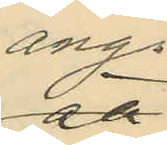ang.
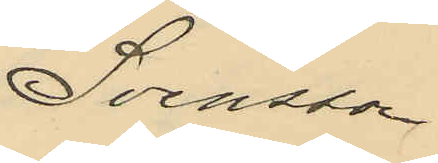Svensson
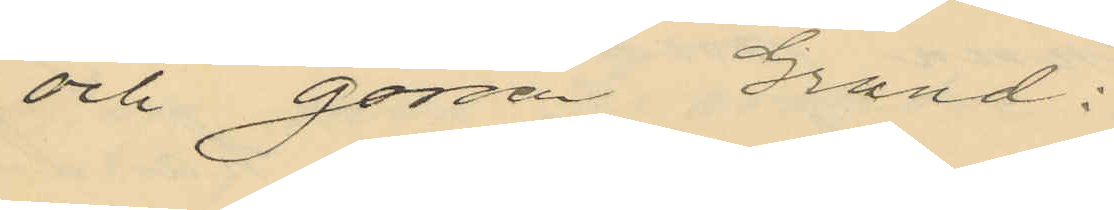och gossen Grund:
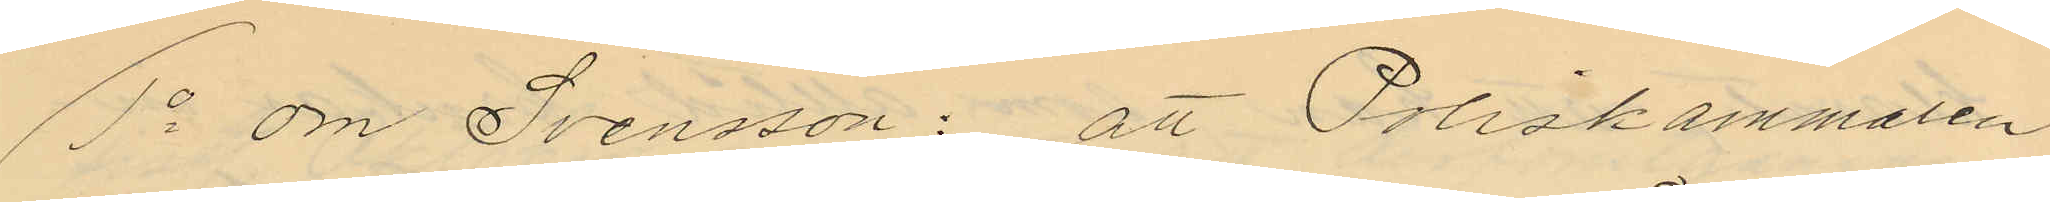1o om Svensson: att Poliskammaren
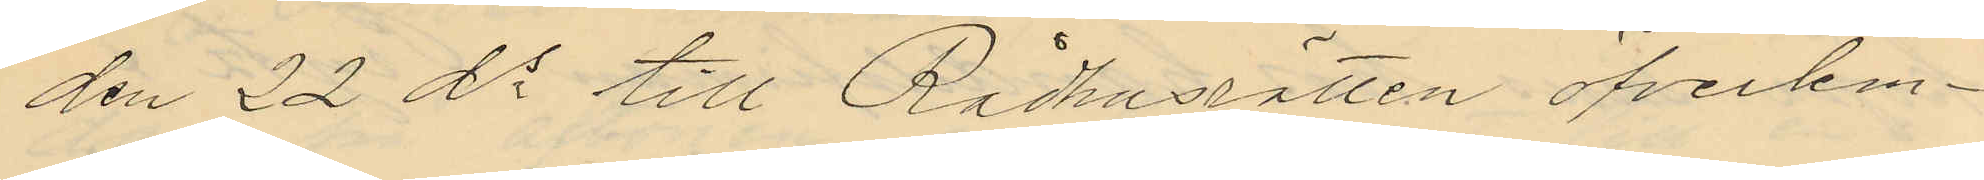den 22 ds till Rådhusrätten öfverlem¬
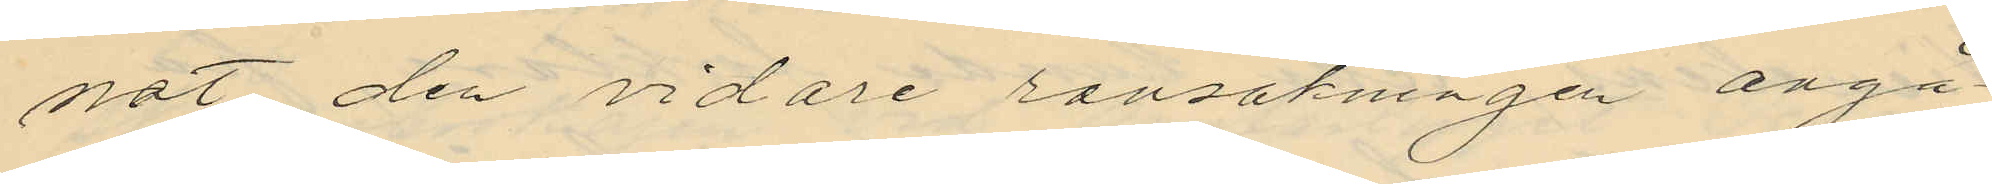nat den vidare ransakningen angå¬
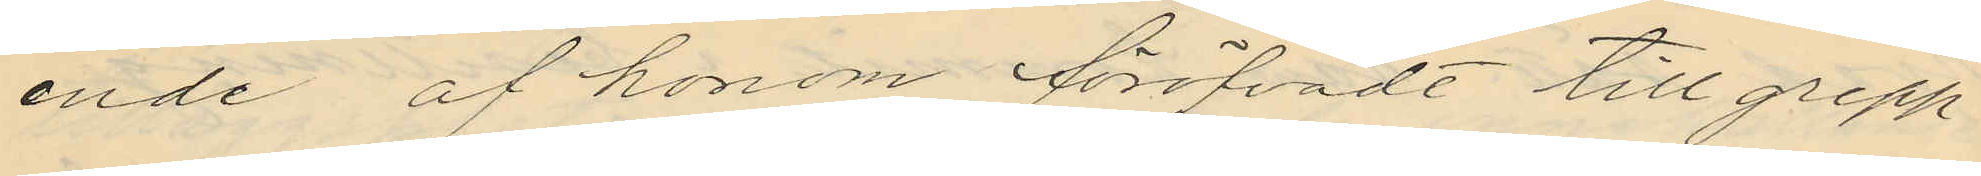ende af honom föröfvadt tillgrepp
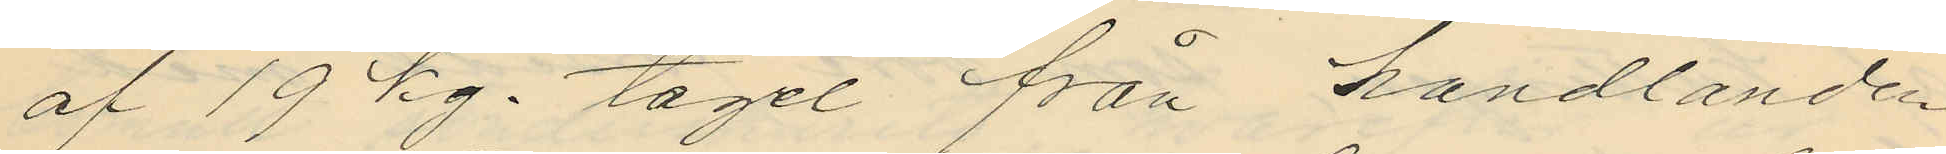af 19 kg. tagel från handlanden
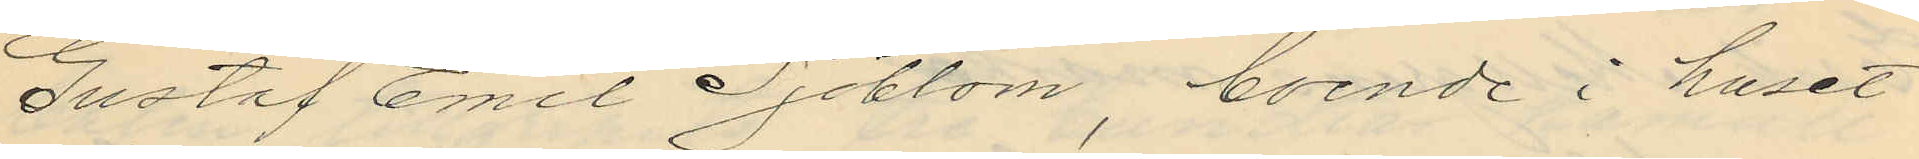Gustaf Emil Sjöblom, boende i huset
